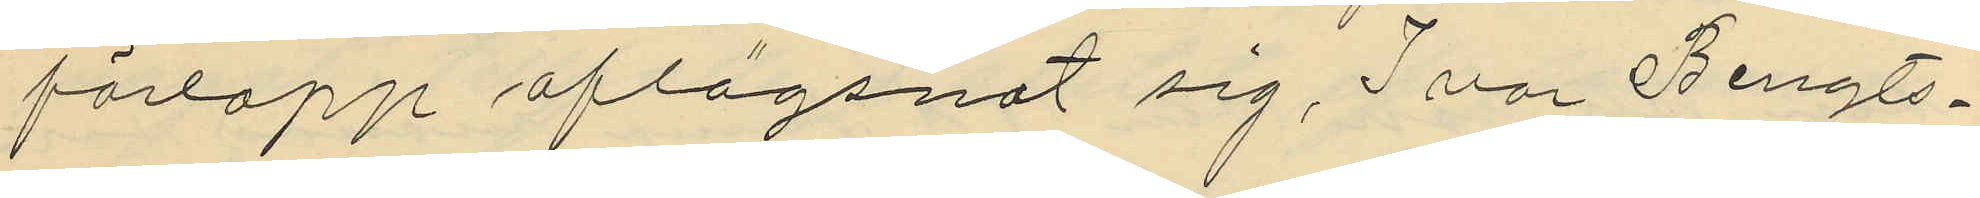förlopp aflägsnat sig, Ivar Bengts¬
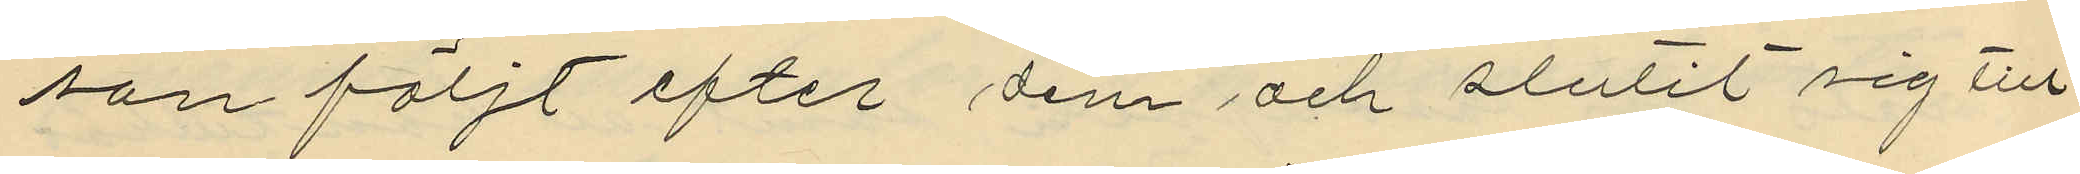son följt efter dem och slutit sig till
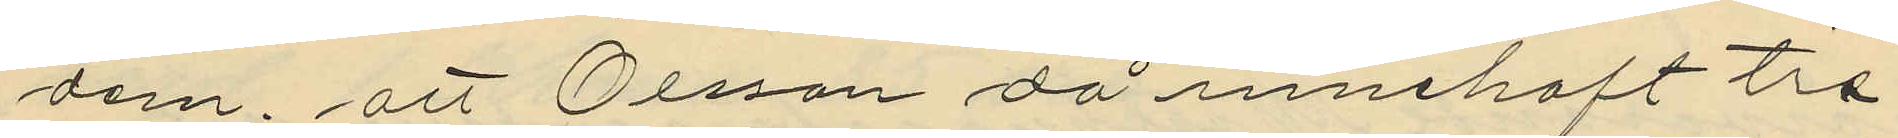dom; att Olsson då innehaft tre
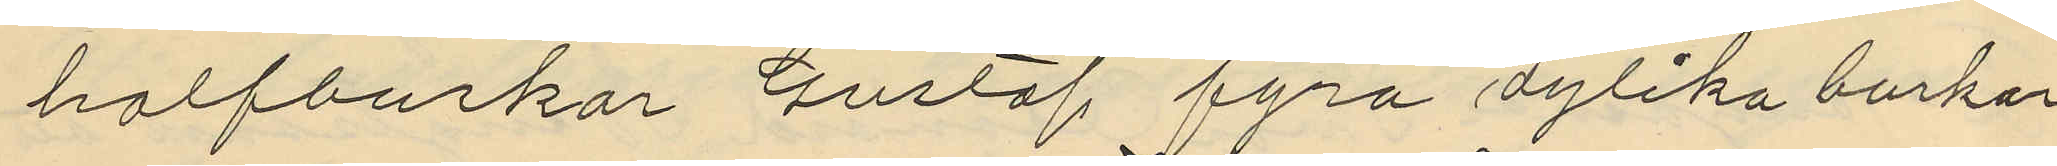halfburkar Gustaf fyra dylika burkar
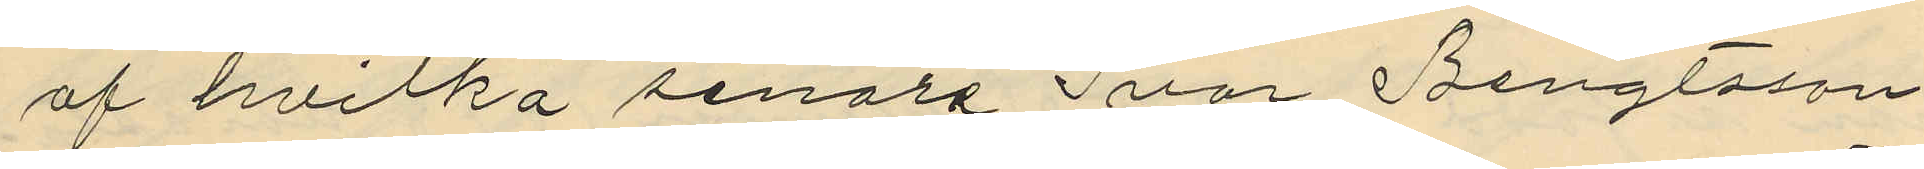af hvilka senare Ivar Bengtsson
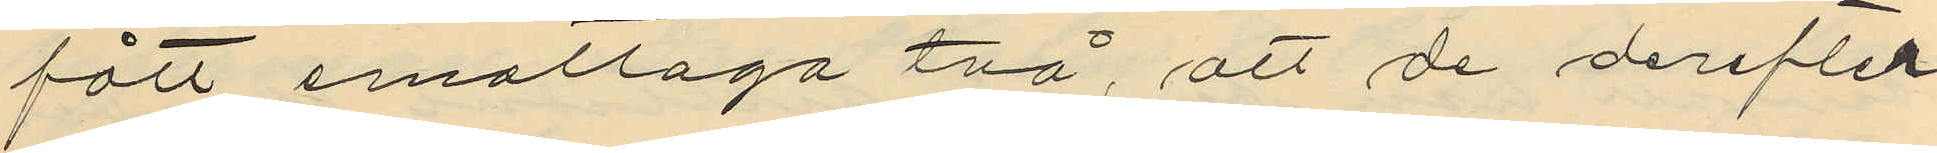fått emottaga två, att de derefter
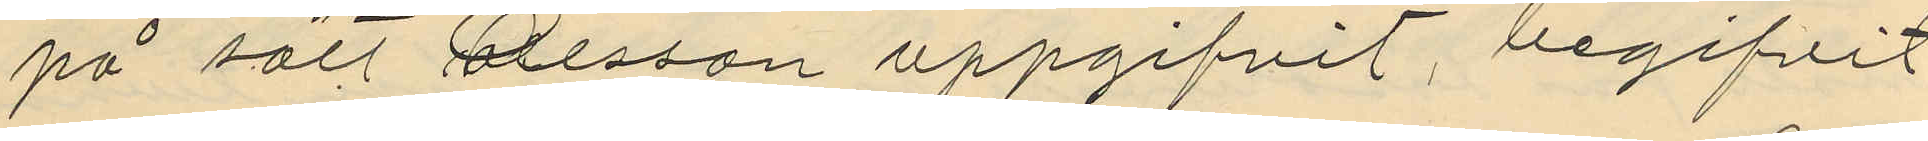på sätt Ollsson uppgifvit, begifvit
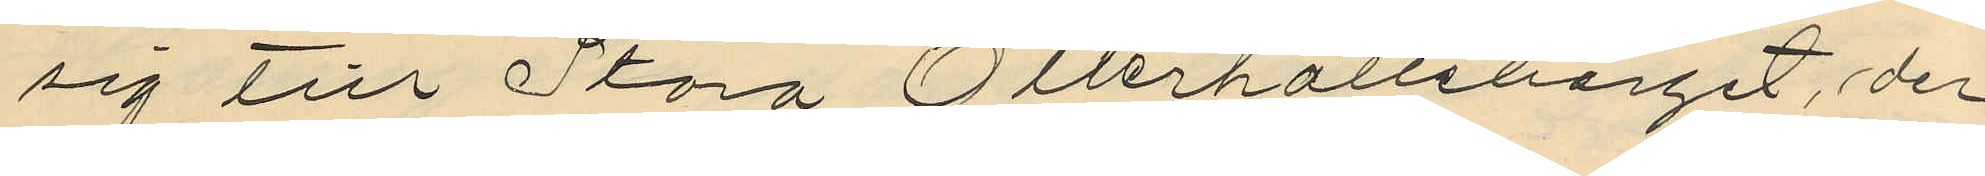sig till Stora Otterhälleberget, der
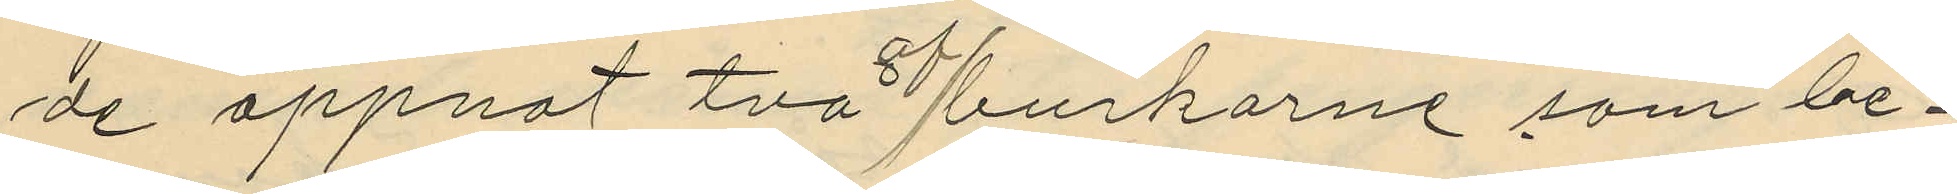de öppnat två burkarne som be¬
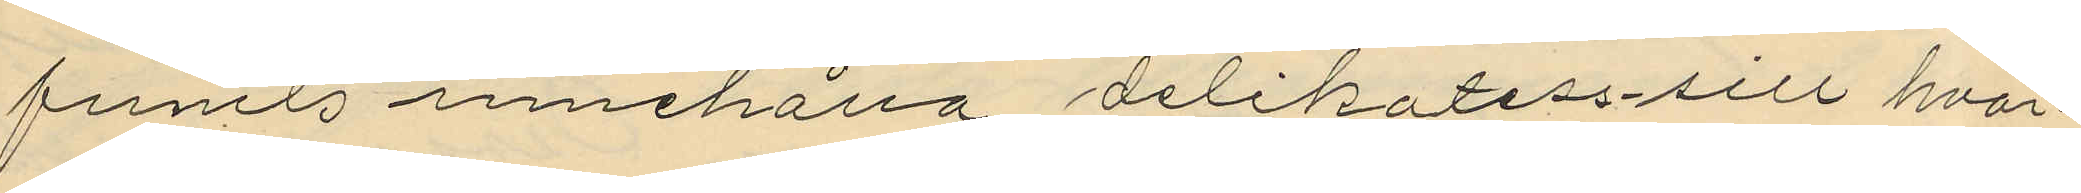funits innehålla delikatess-sill hvar¬
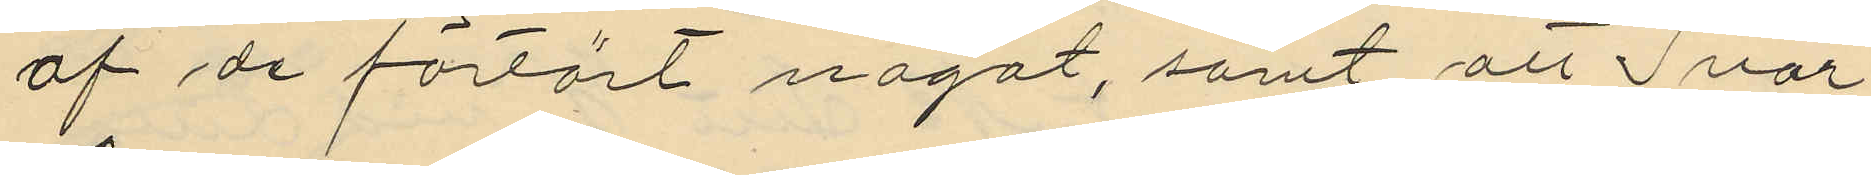af de förtärt något, samt att Ivar
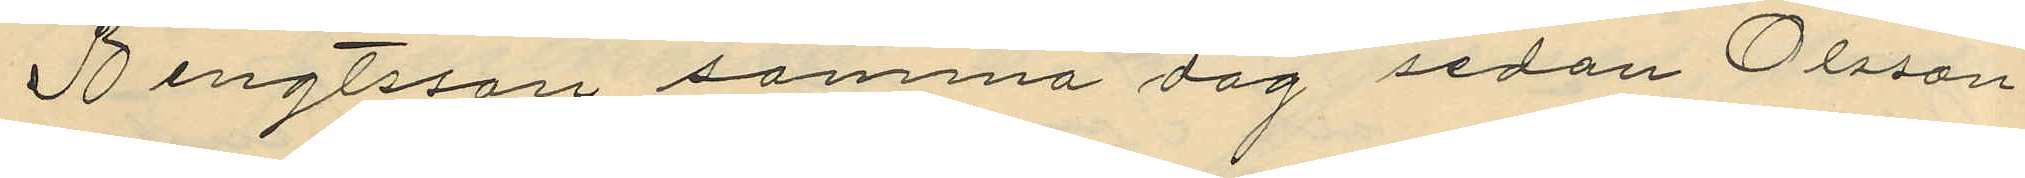Bengtsson samma dag sedan Olsson
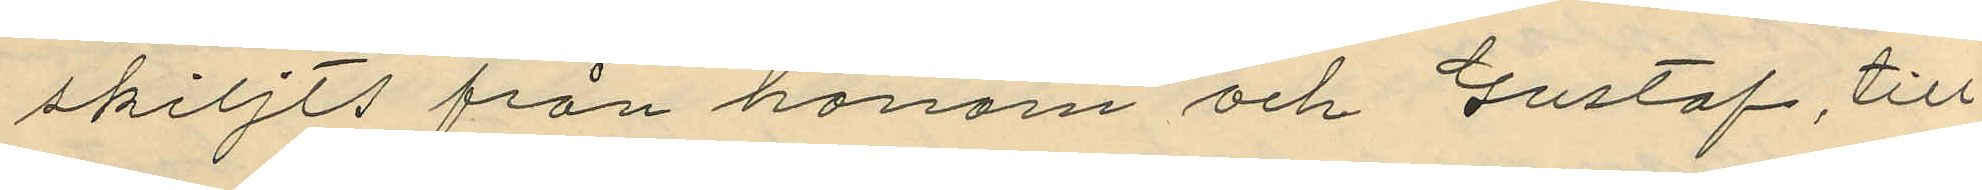skiljts från honom och Gustaf till
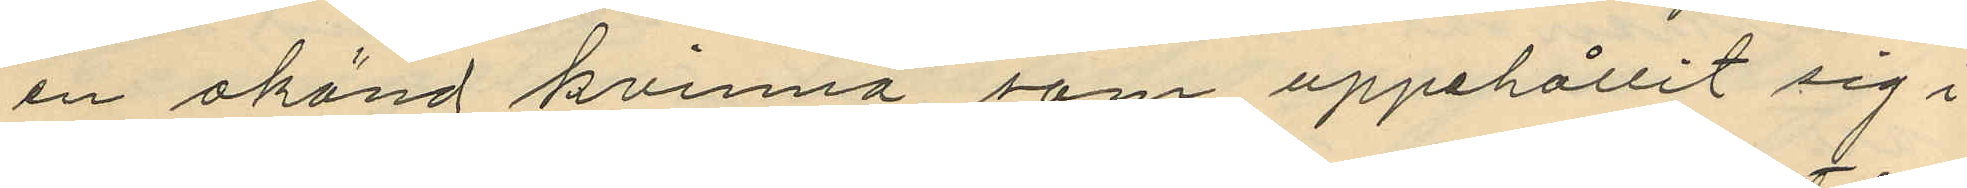en okänd kvinna som uppehållit sig i
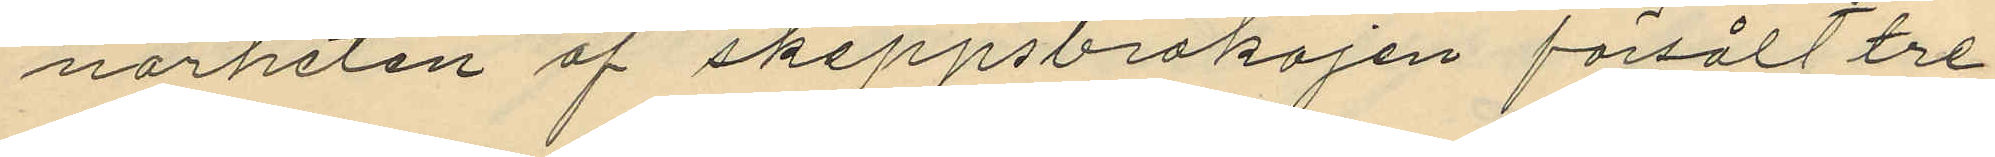närheten af skeppsbrokajen försålt tre
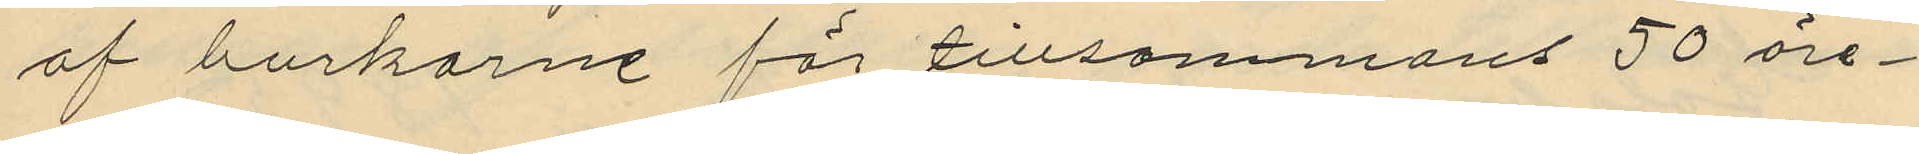af burkarne för tillsammans 50 öre
